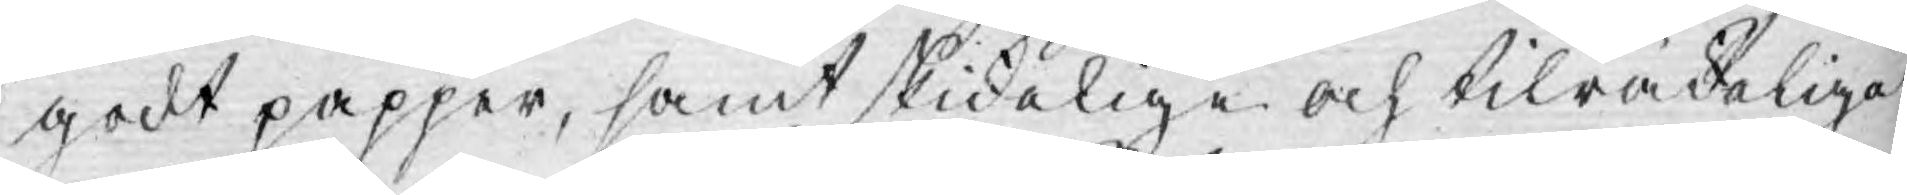godt papper, samt skickelige och tilräckelige
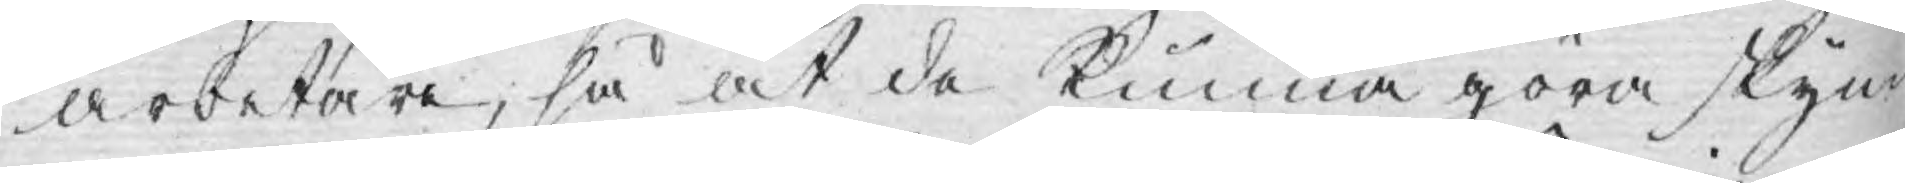arbetare, så at de kunna göra skyn¬
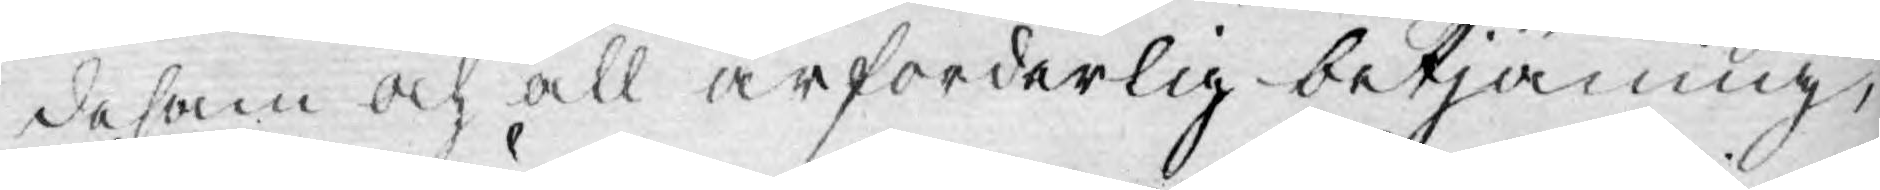desam och all ärforderlig betjäning;
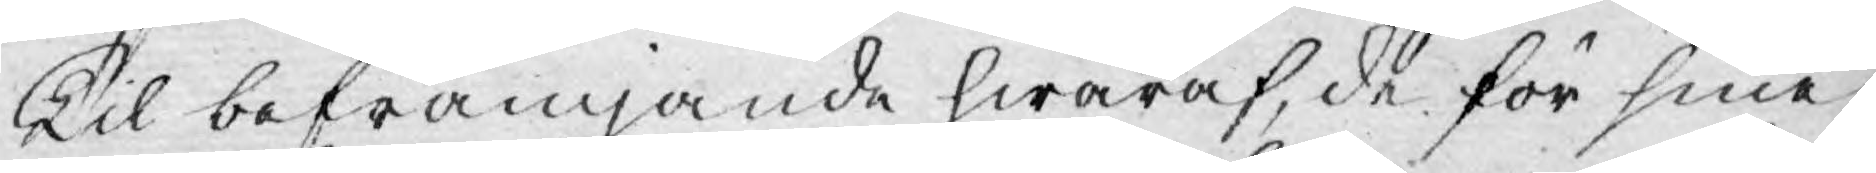Til befrämjande hwaraf, de för sine
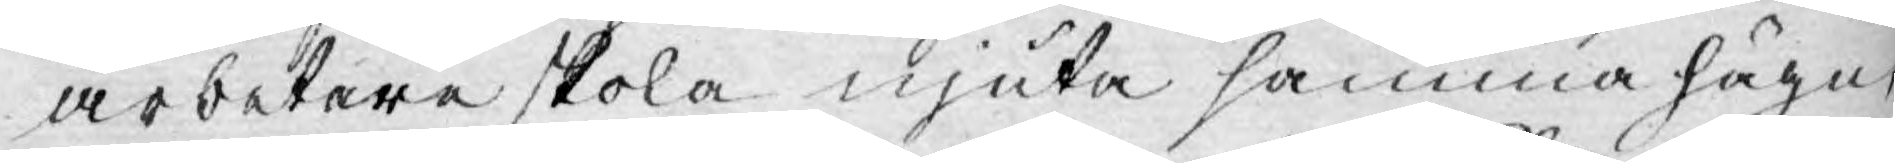arbetare skola njuta samma hägn
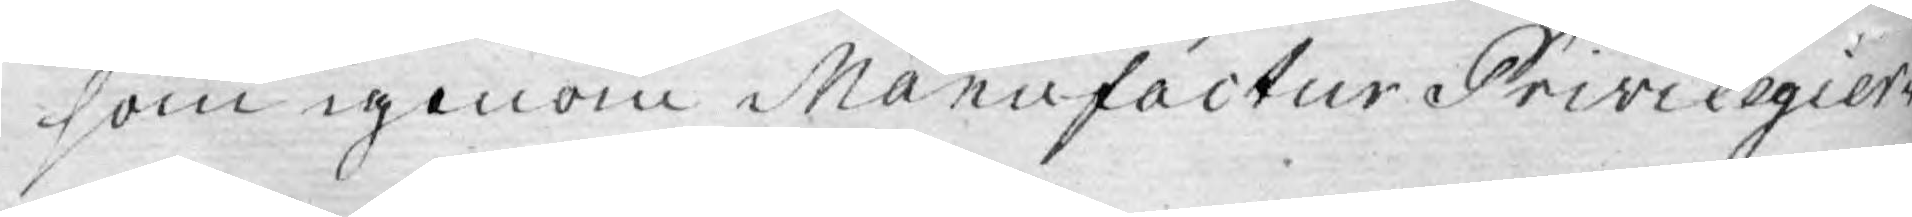som igenom Manufactur Privilegier¬
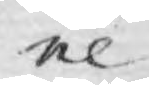ne
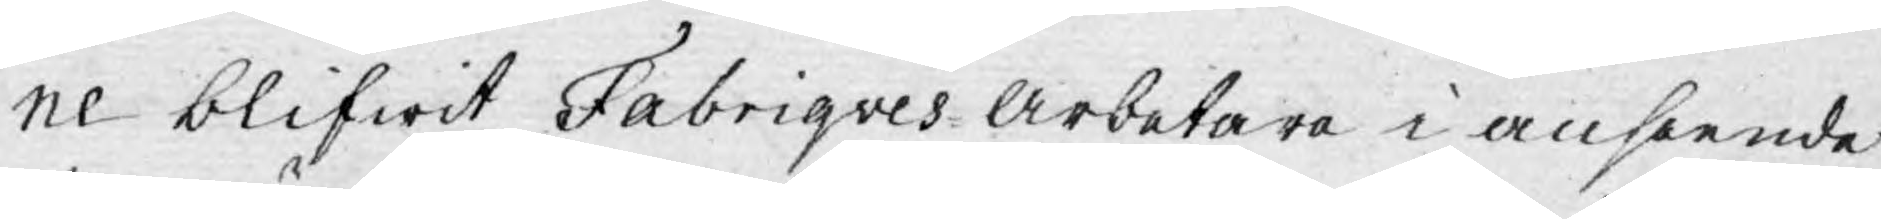ne blifwit Fabriqves Arbetare i anseende
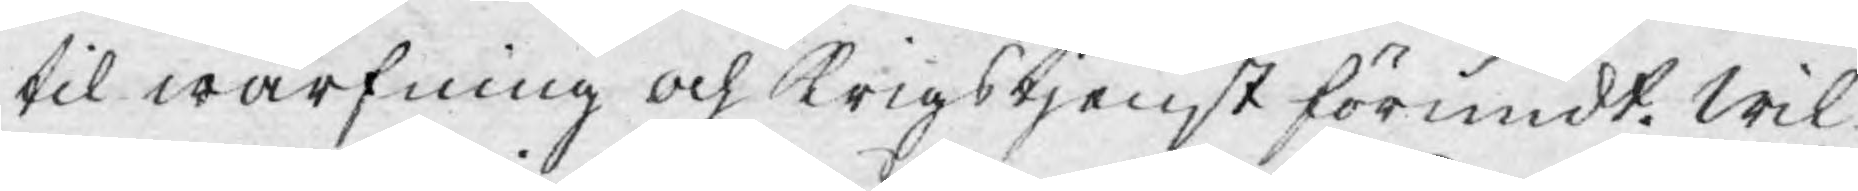til wärfning och Krigstjenst förundt. Wil¬
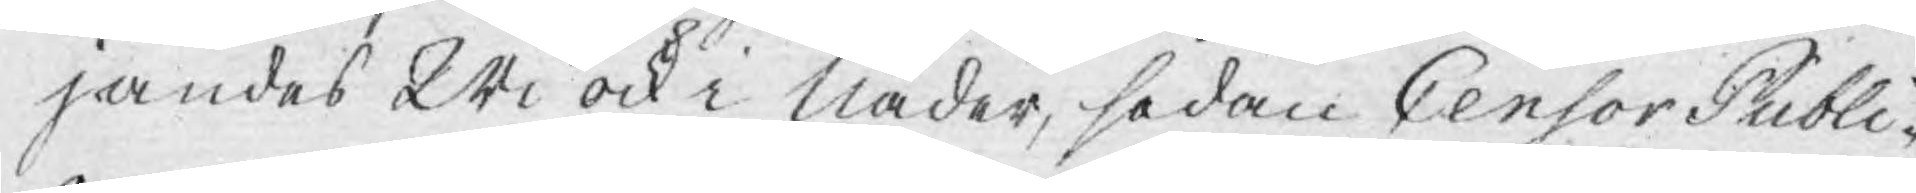jandes Wi ock i Nåder, sedan Censor Publi¬
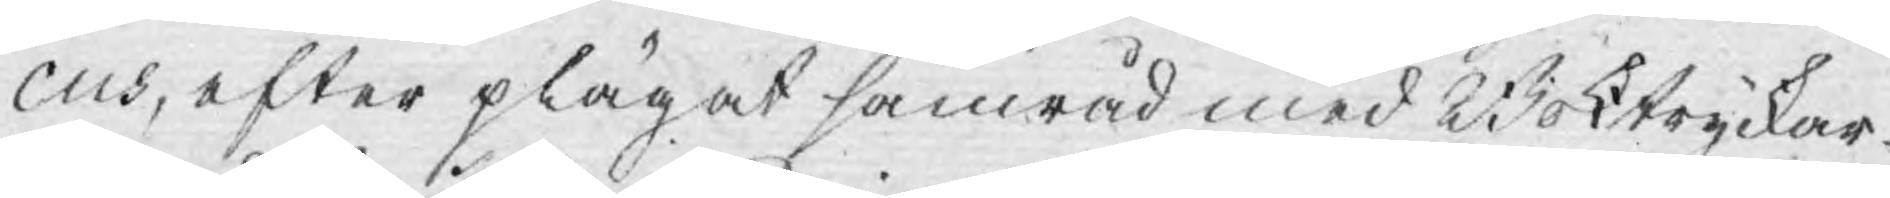cus, efter plägat samråd med Boktryckar¬
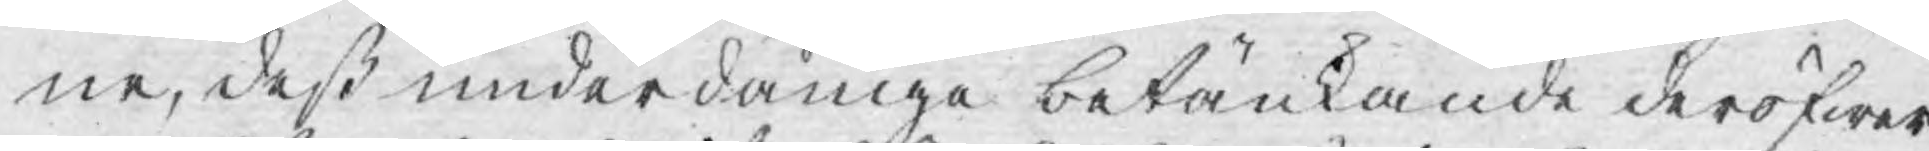ne, deß underdånige betänkande deröfwer
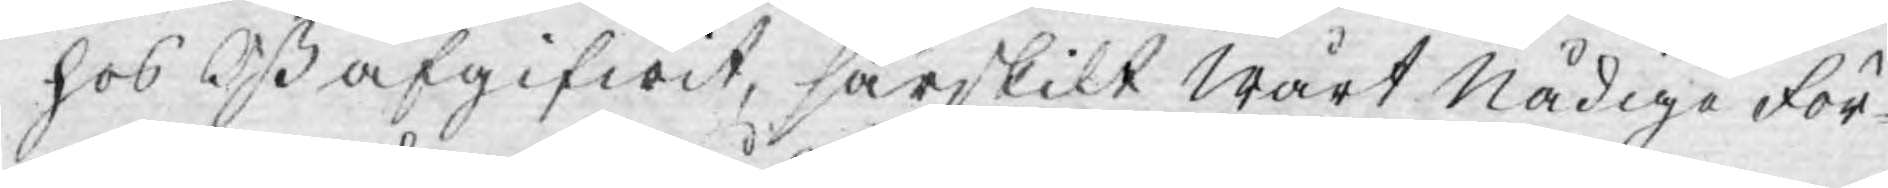hos Oß afgifwit, särskilt Wårt Nådige För¬
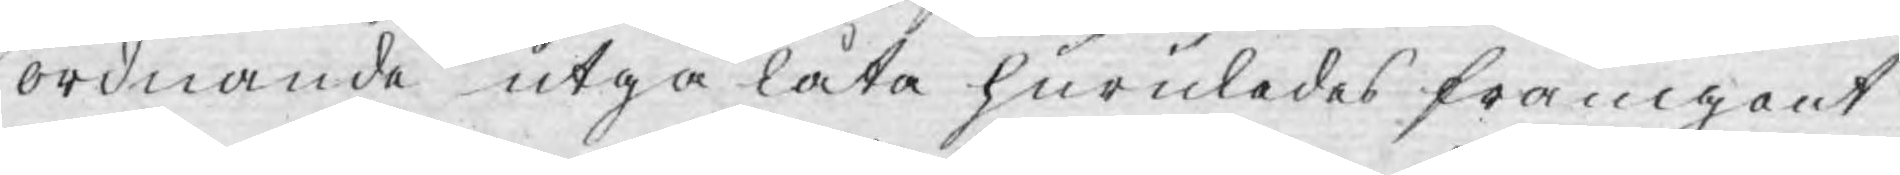ordnande utgå låta huruledes framgent
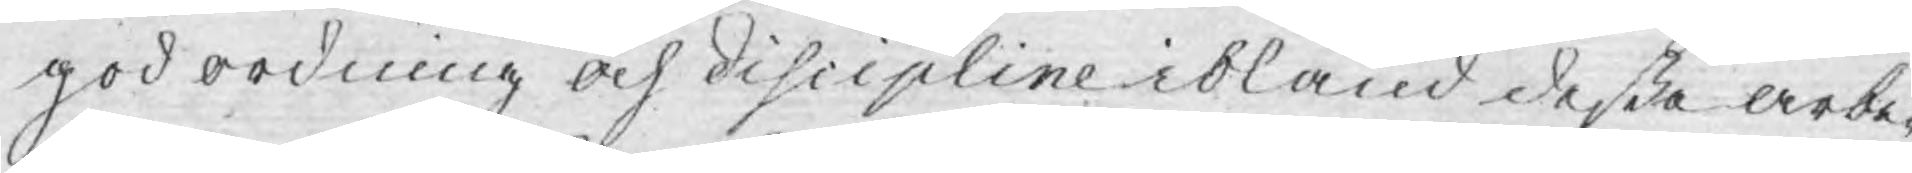god ordning och discipline ibland deßa arbe¬
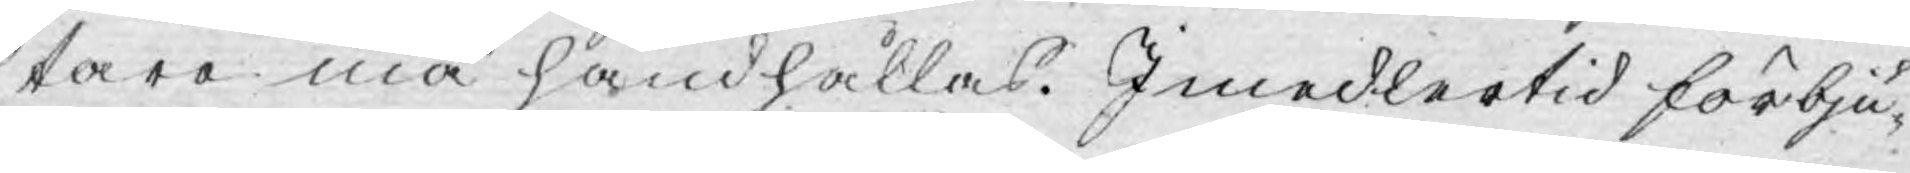tare må handhållas. Imedlertid förbju¬
